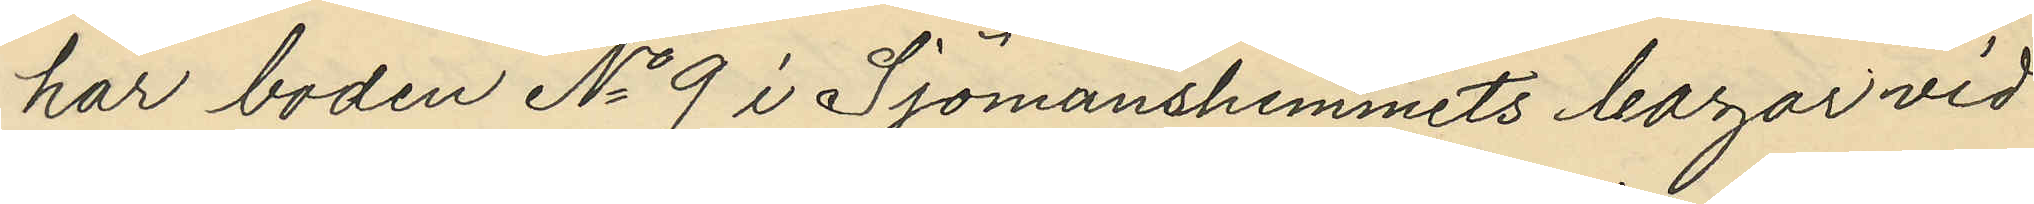har boden No 9 i Sjömanshemmets bazar vid
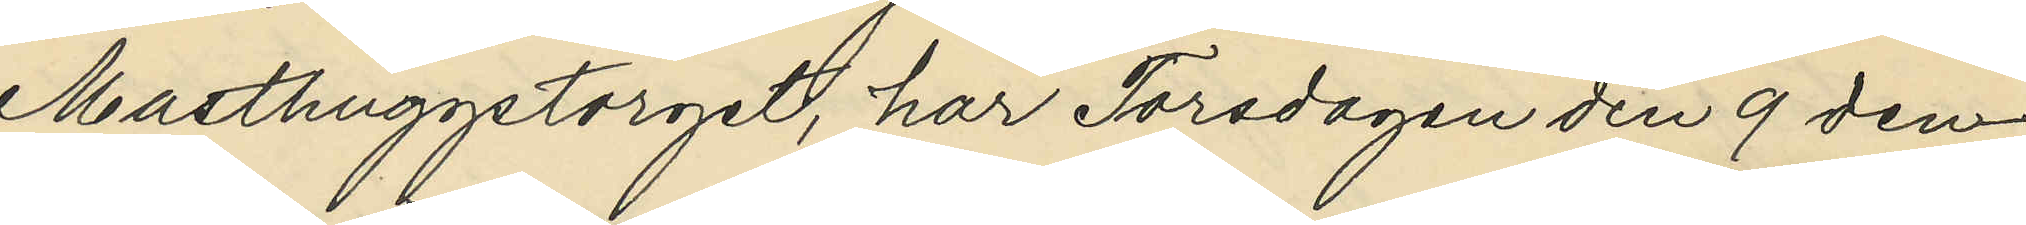Masthuggstorget, har Torsdagen den 9 den¬
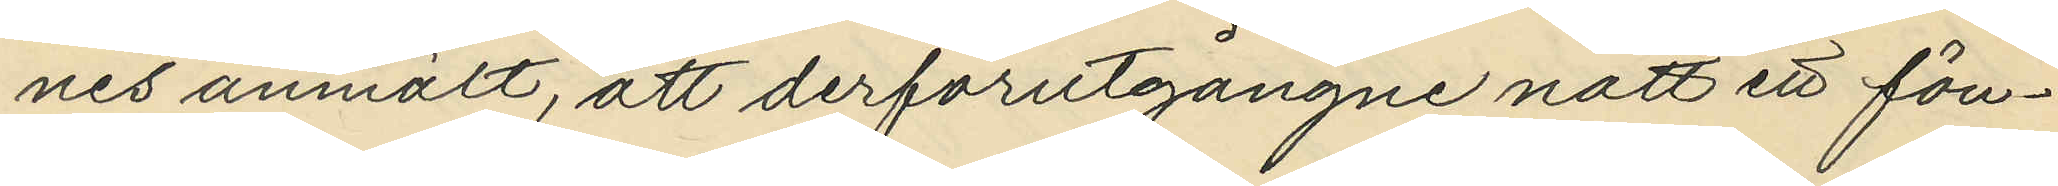nes anmält, att derförutgångne natt ett fön¬
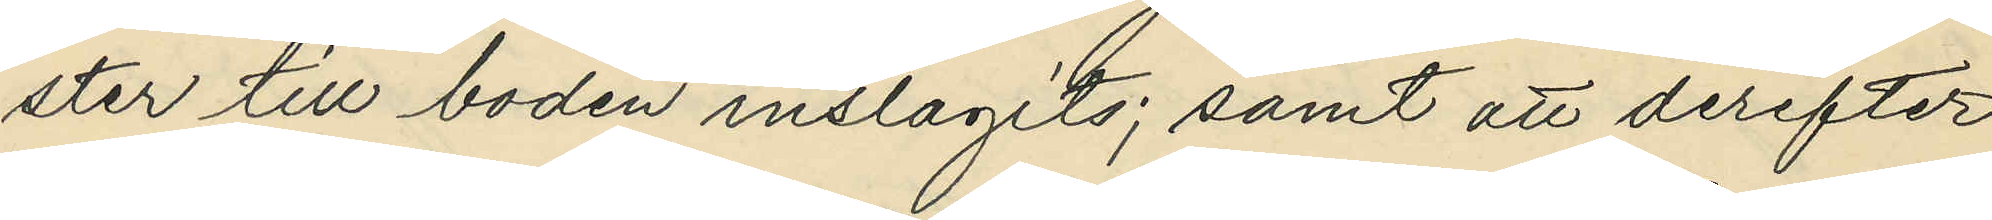ster till boden inslagits; samt att derefter
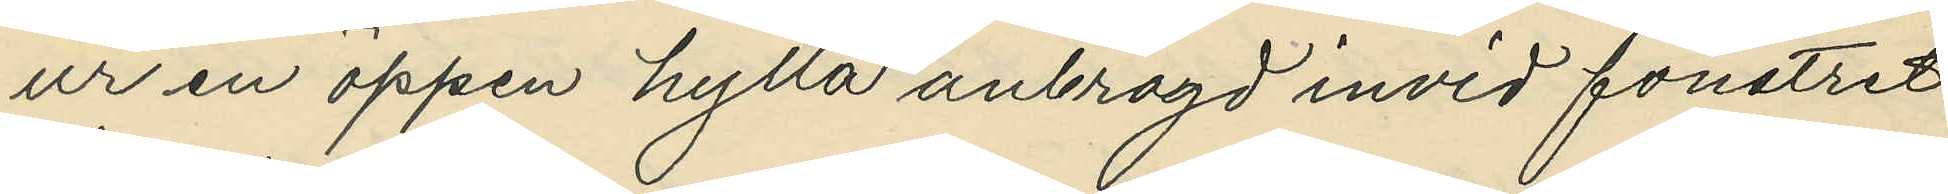ur en öppen hylla anbragd invid fönstret
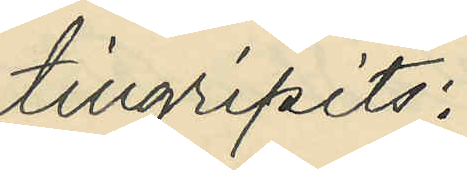tillgripits:
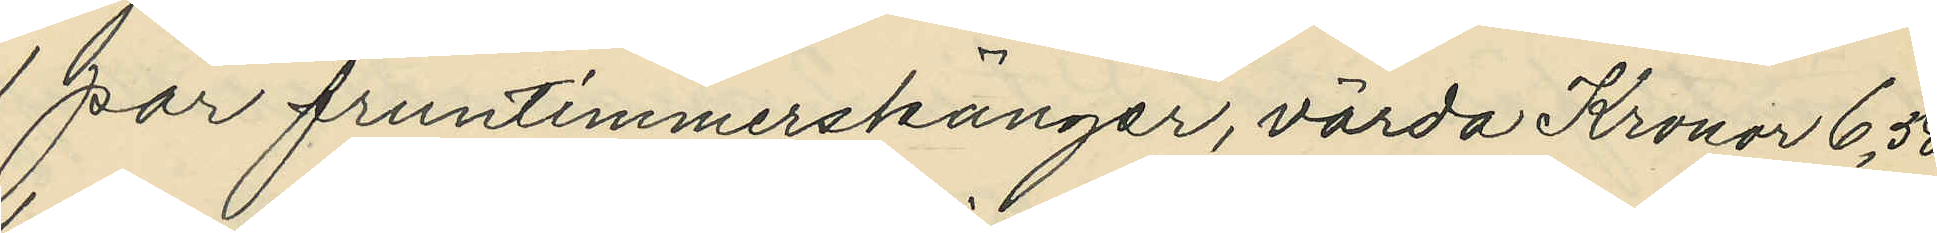1 par fruntimmerskänger, värda Kronor 6,50
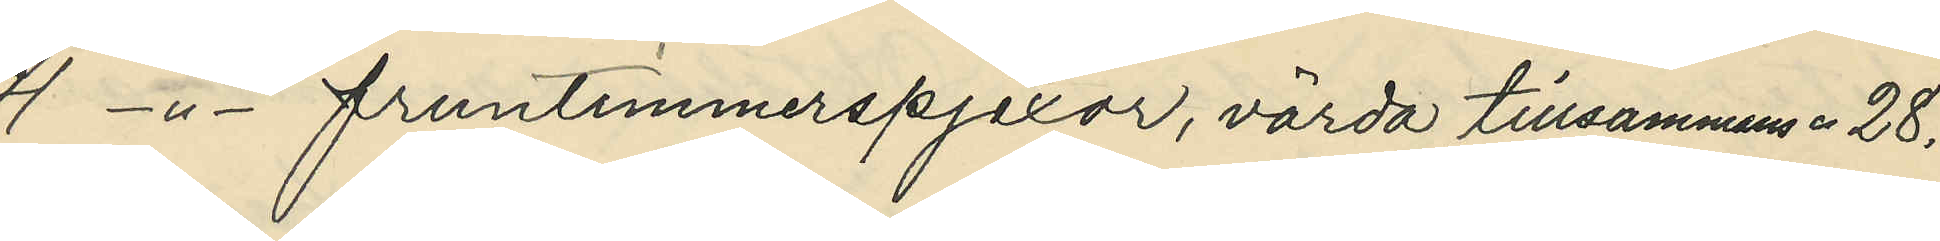4 -"- fruntimmerspjexor, värda tillsammans " 28,
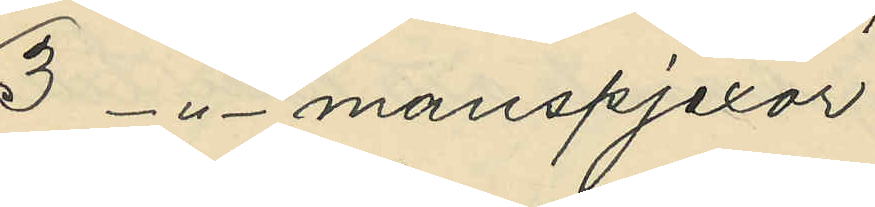3 -"- manspjexor
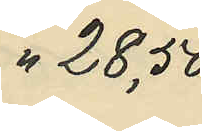" 28,50
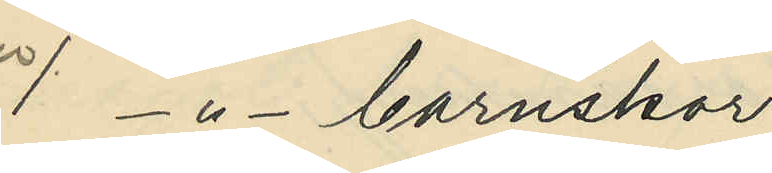1 -"- barnskor
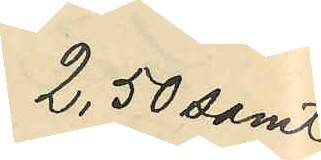2,50 samt
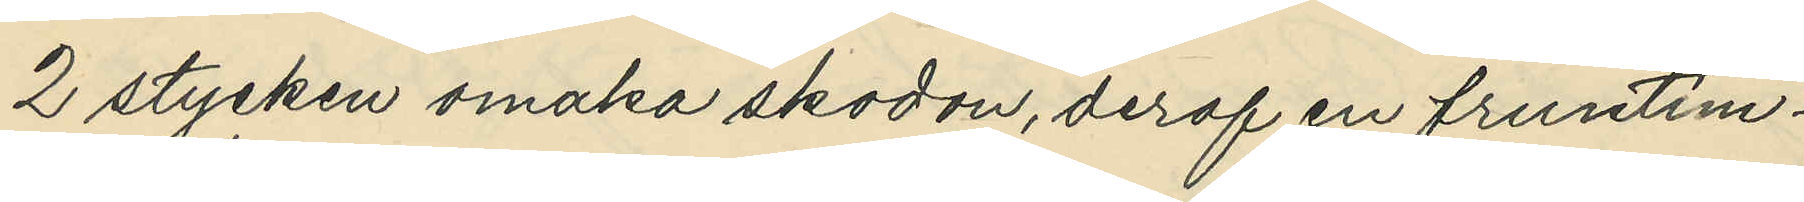2 stycken omaka skodon, deraf en fruntim¬
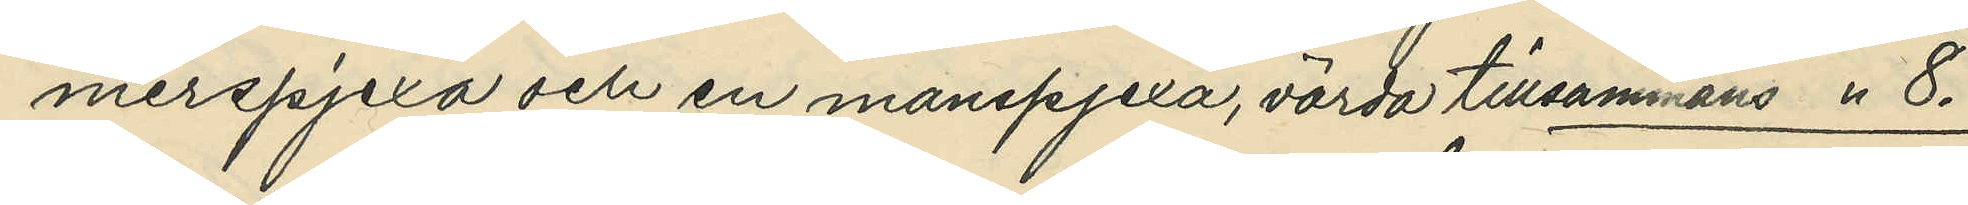merspjexa och en manspjexa, värda tillsammans " 8.
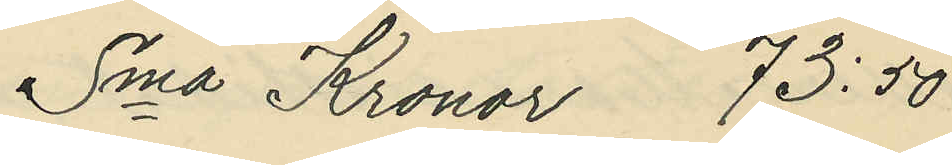Sma Kronor 73:50
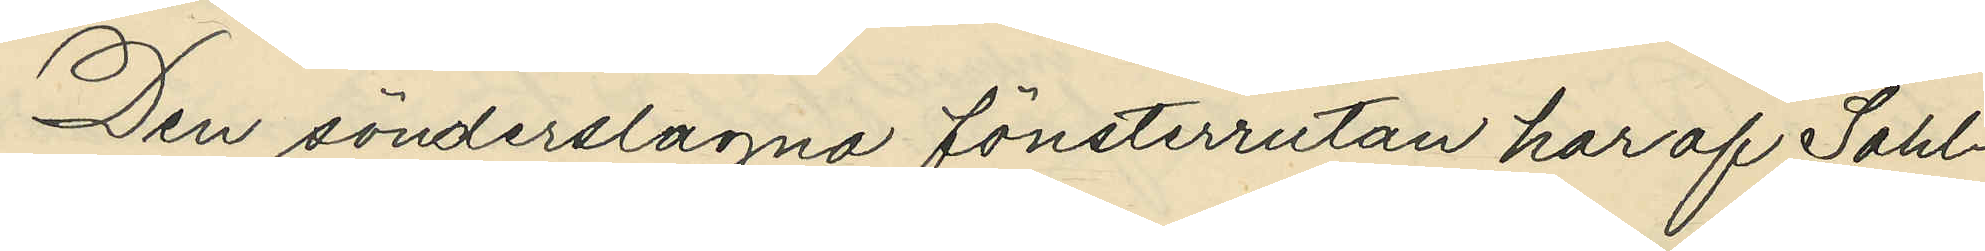Den sönderslagna fönsterrutan har af Sahl¬
